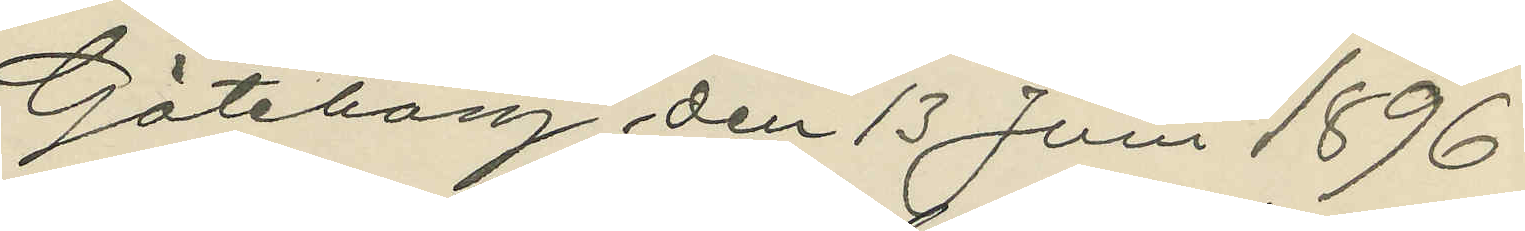Göteborg den 13 Juni 1896.
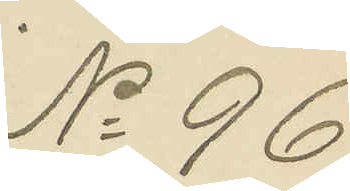No 96.
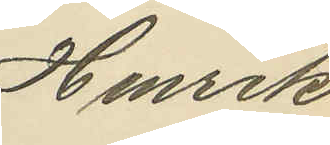Henrik
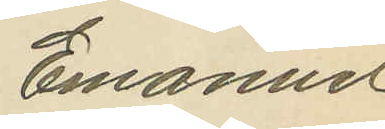Emanuel
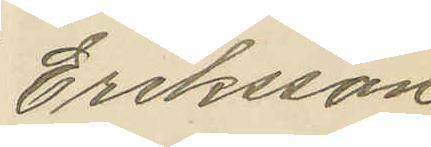Eriksson
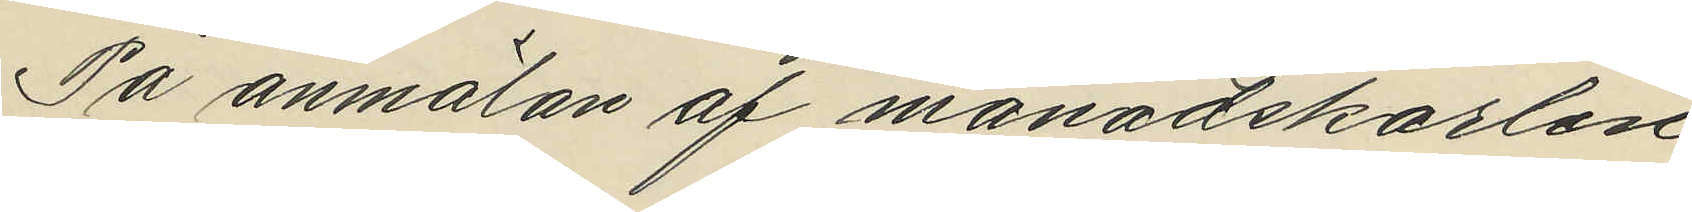På anmälan af månadskarlen
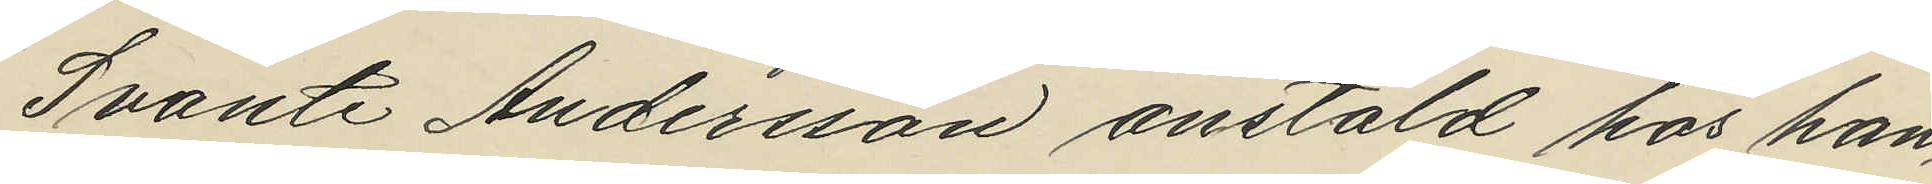Svante Andersson anstäld hos han¬
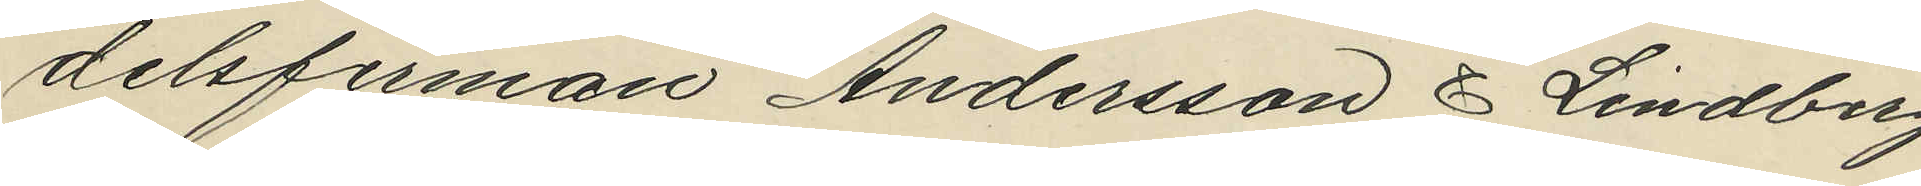delsfirman Andersson & Lindberg,
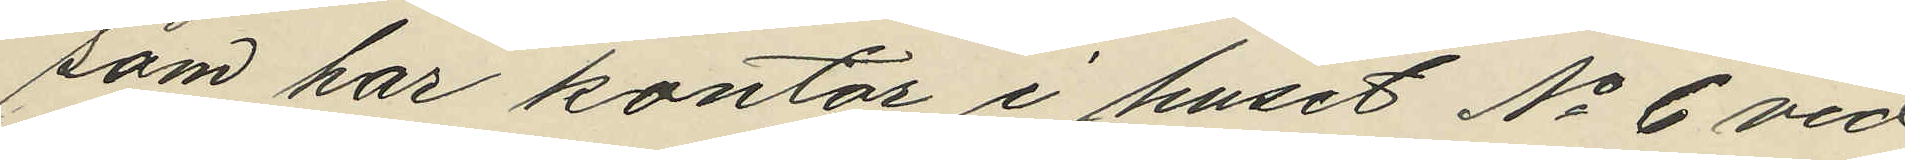som har kontor i huset No 6 vid
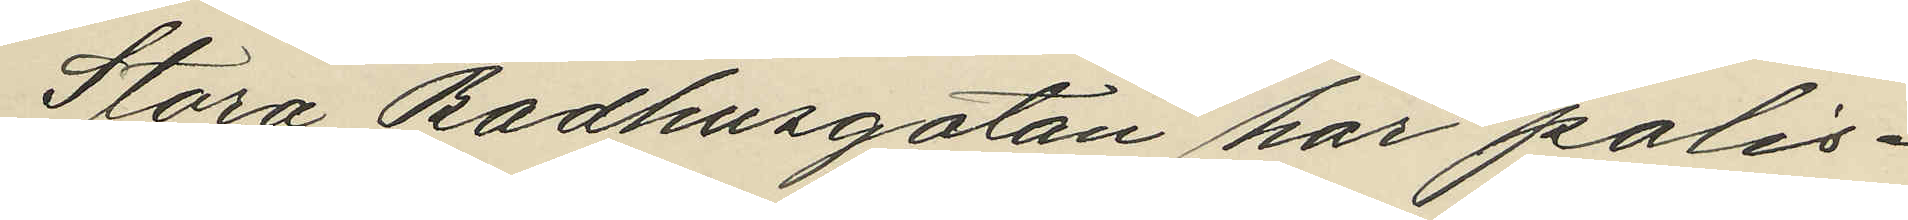Stora Badhusgatan har polis¬
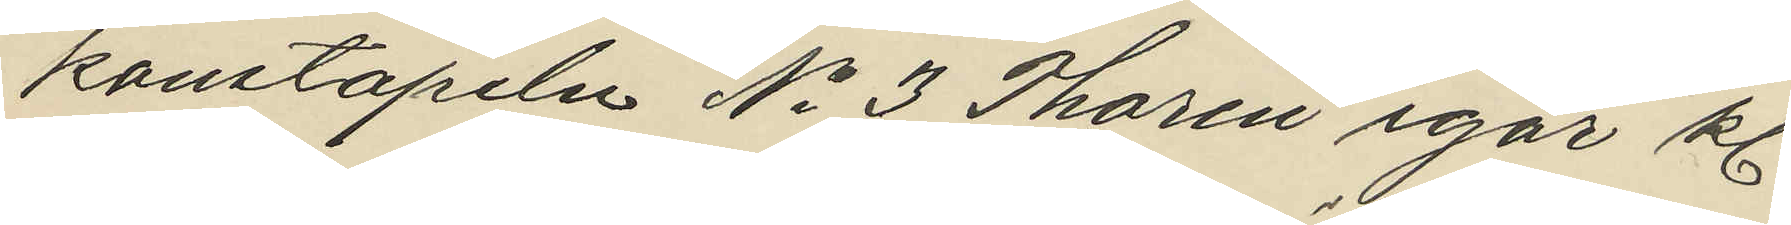konstapeln No 3 Thorén igår kl.
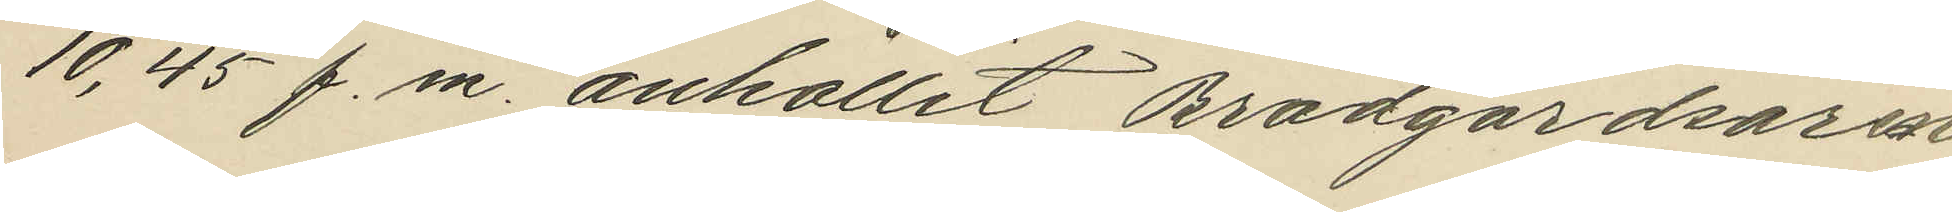10,45 f.m. anhållit Brädgårdsaren
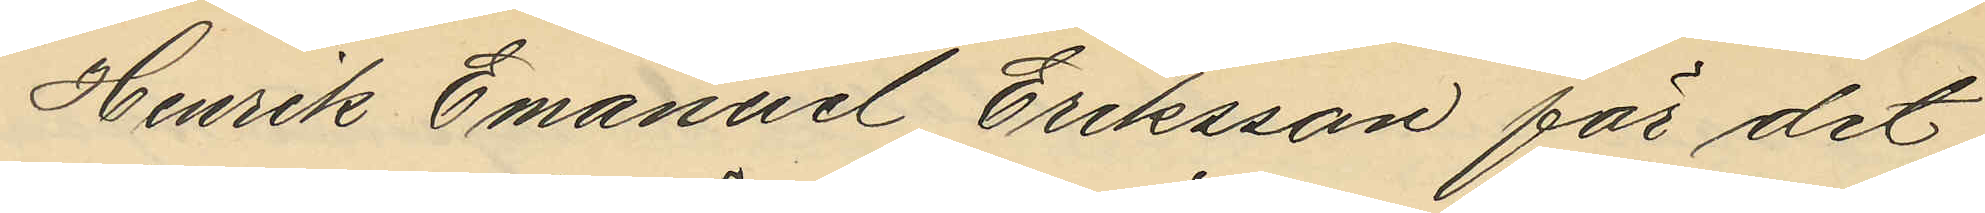Henrik Emanuel Eriksson för det
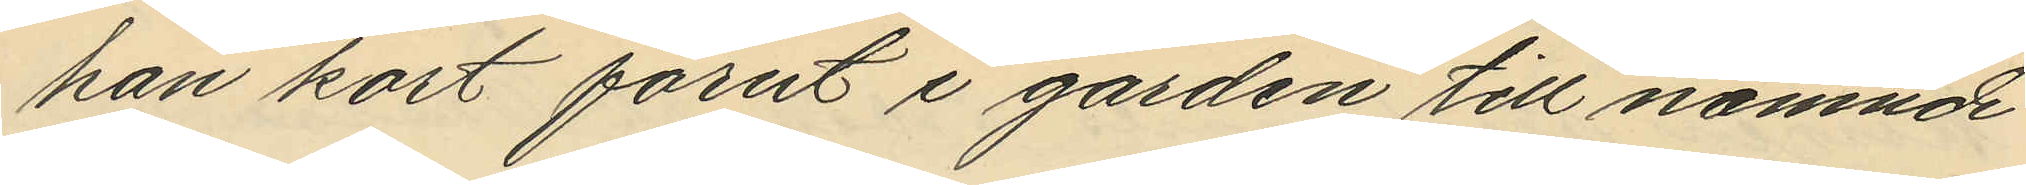han kort förut i gården till nämnde
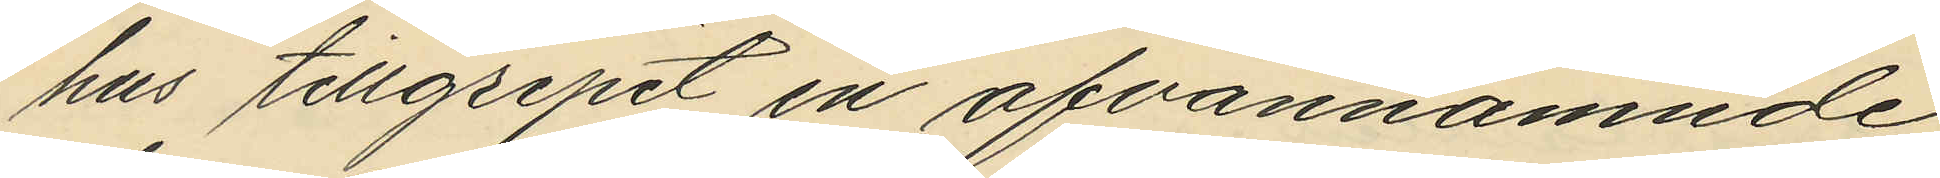hus tillgripit en ofvannämnde
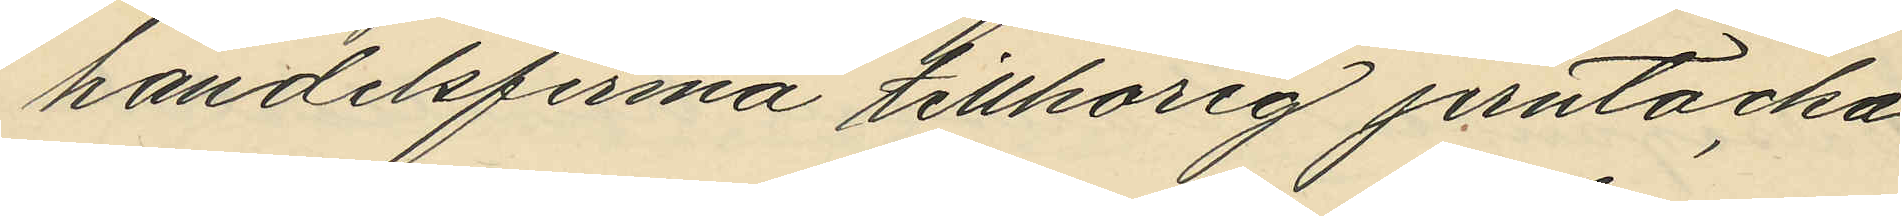handelsfirma tillhörig jerntacka
